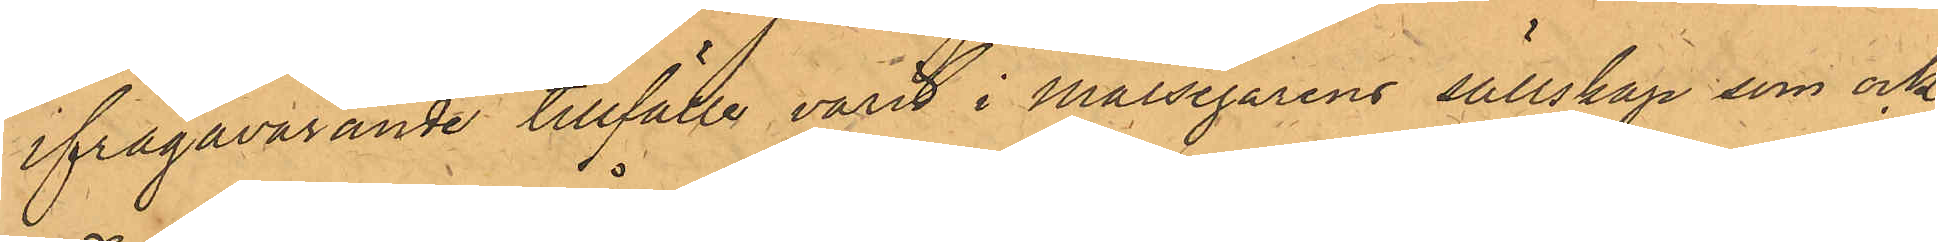ifrågavarande tillfälle varit i Målsegarens sällskap som ock
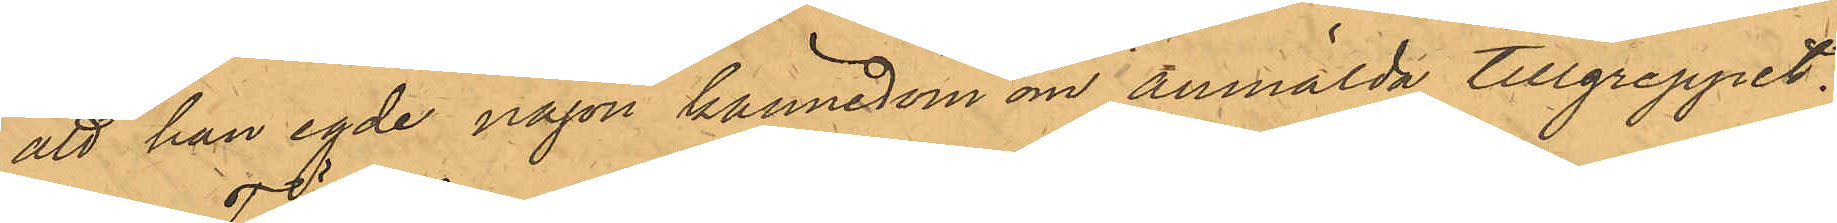att han egde någon kännedom om anmälda tillgreppet.
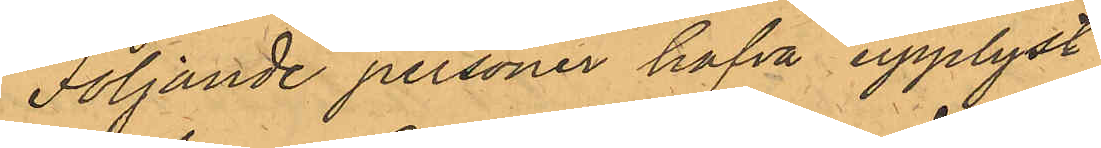Följande personer hafva upplyst:
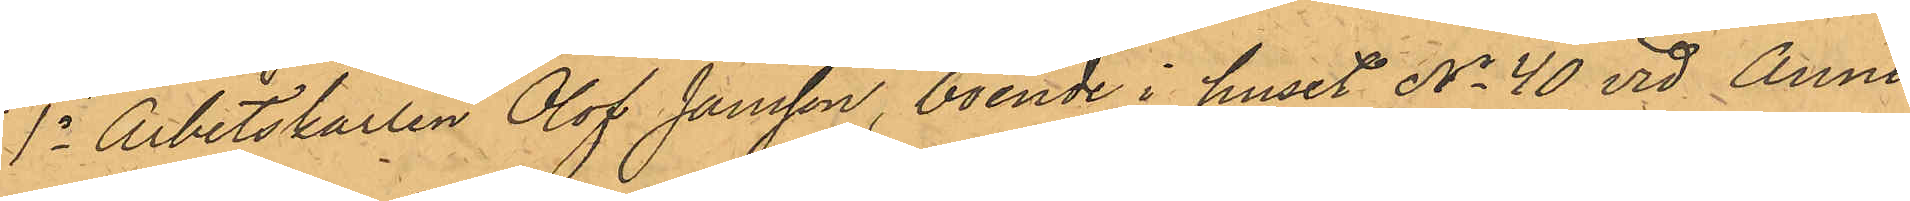1o Arbetskarlen Olof Jansson, boende i huset No 40 vid Anne¬
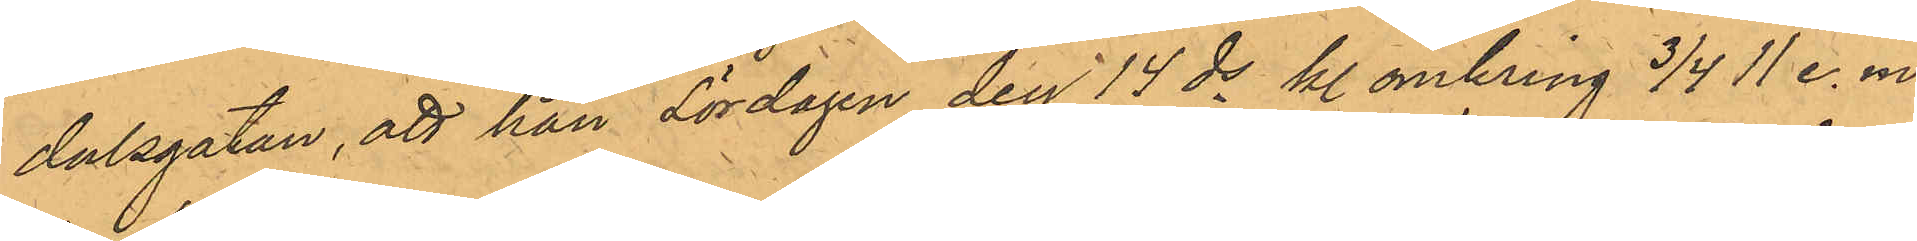dalsgatan, att han Lördagen den 14 ds kl. omkring 3/4 11 e. m.
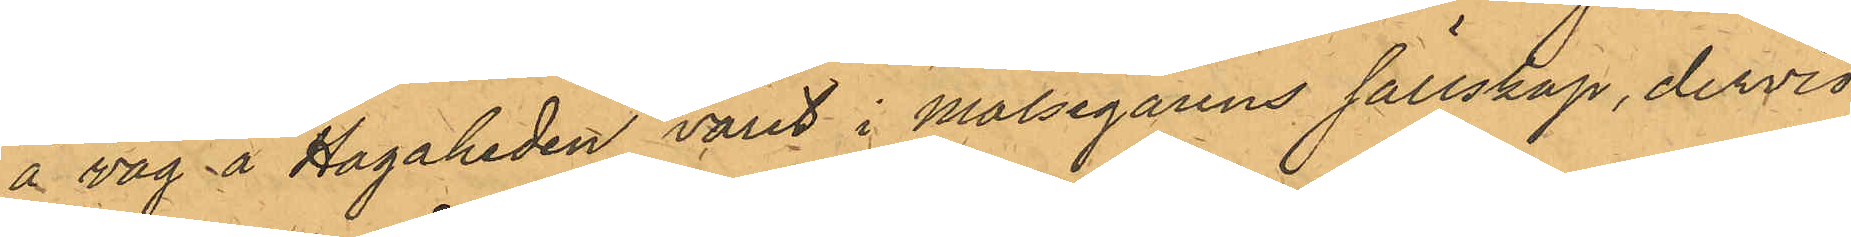å väg å Hagaheden varit i Målsegarens sällskap, dervid
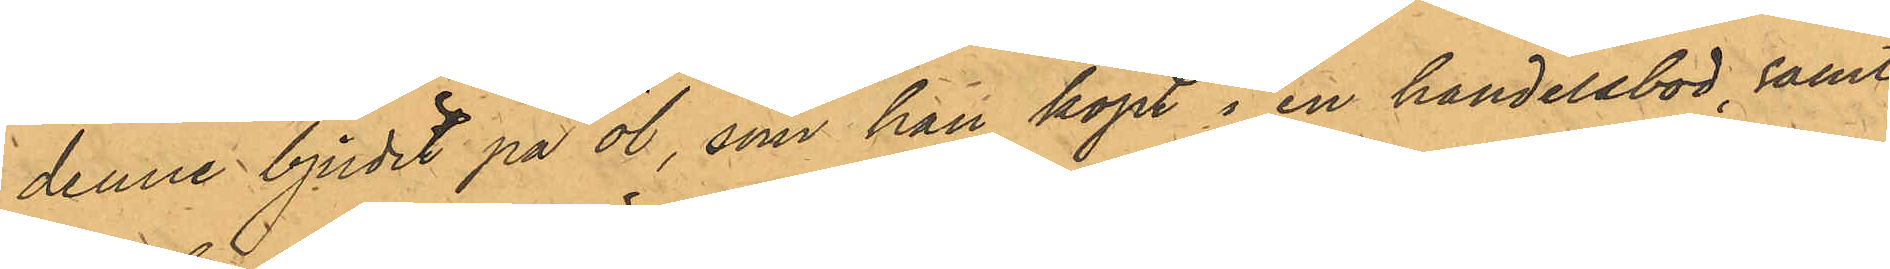denne bjudit på öl, som han köpt i en handelsbod, samt
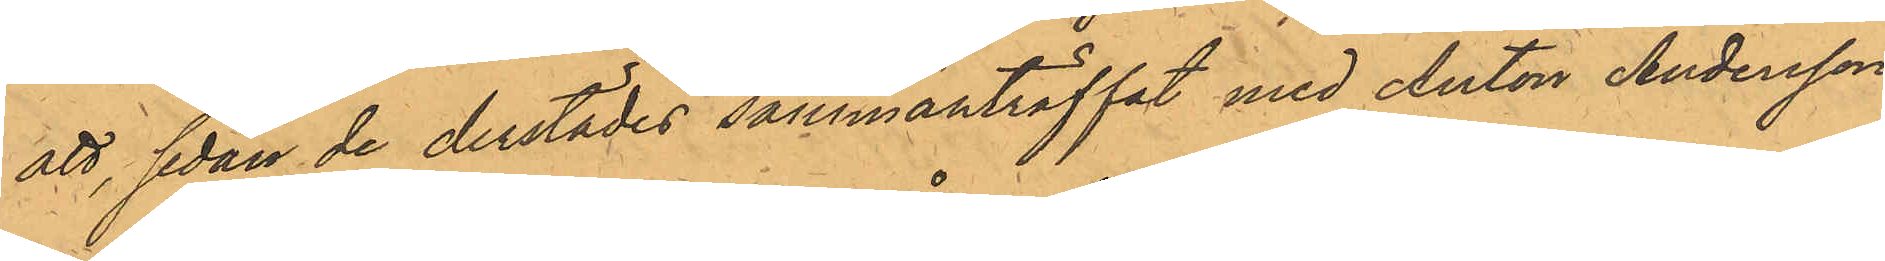att, sedan de derstädes sammanträffat med Anton Andersson,
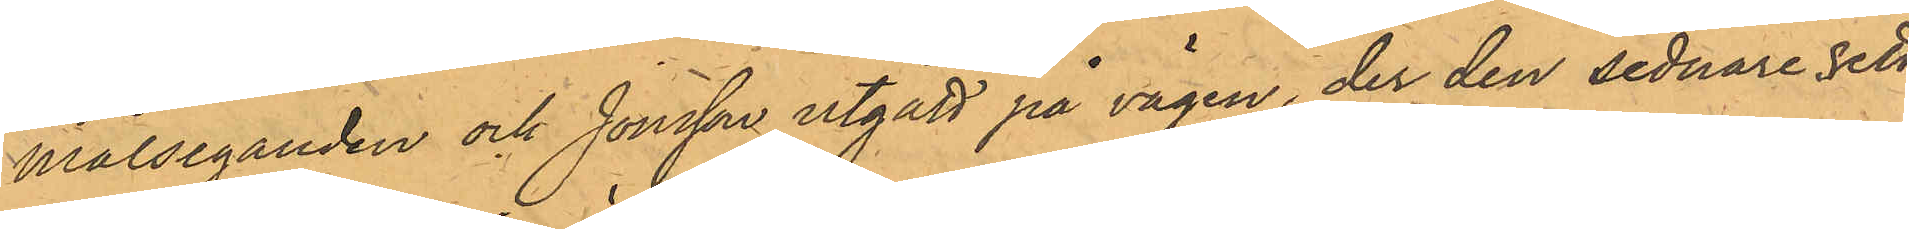målseganden och Jonsson utgått på vägen, der den sednare sett
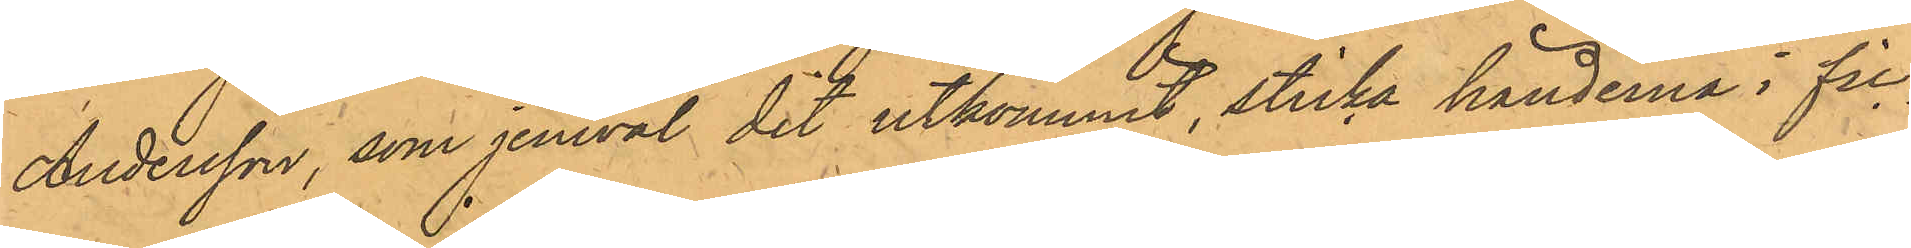Andersson, som jemväl dit utkommit, sticka händerna i fic¬
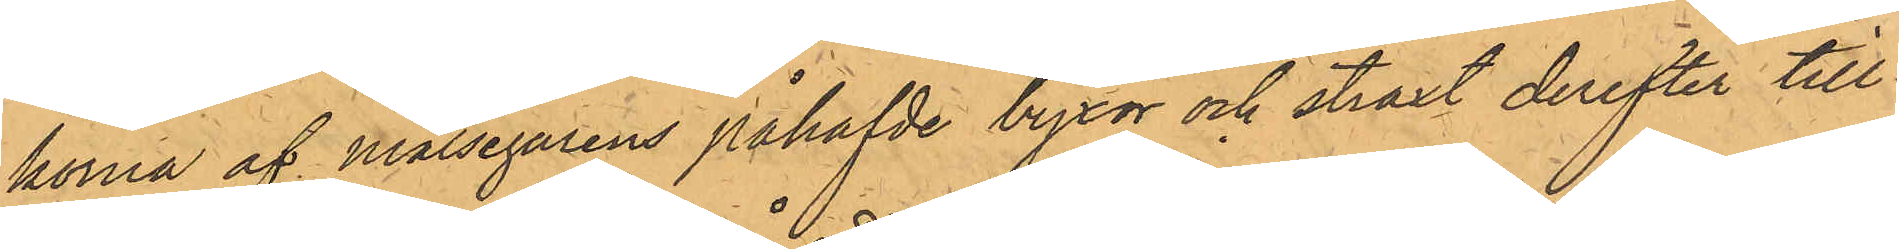korna af målsegarens påhafvde byxor och straxt derefter till¬
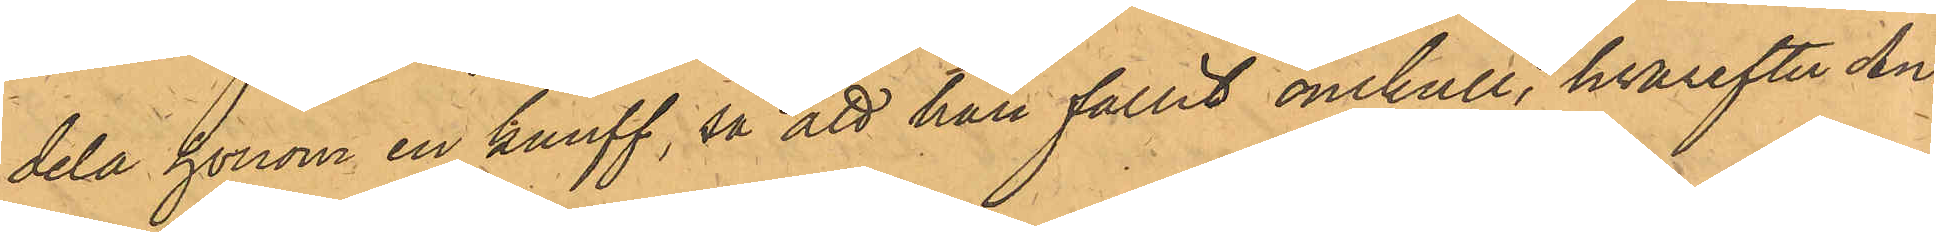dela honom en knuff, så att han fallit omkull, hvarefter An¬
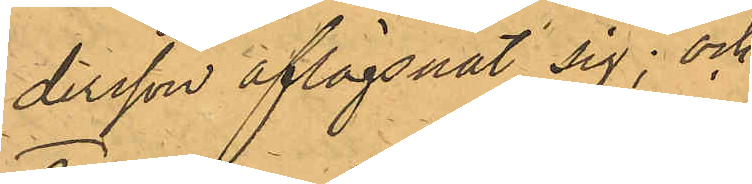dersson aflägsnat sig; och
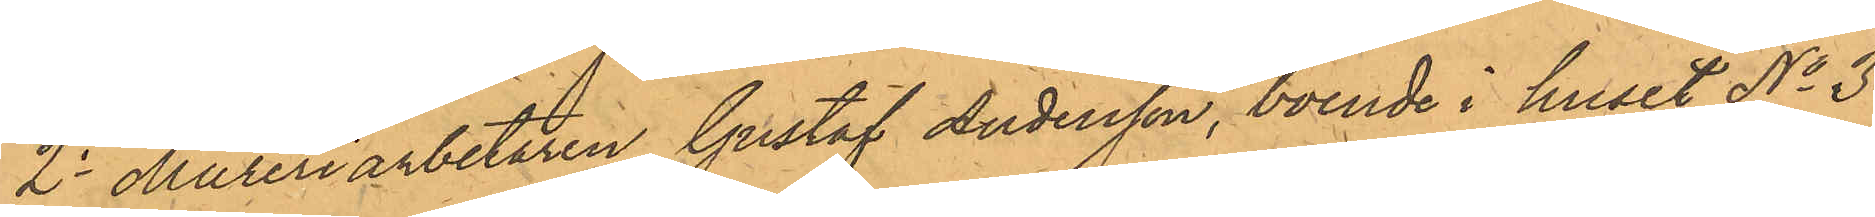2o Mureriarbetaren Gustaf Andersson, boende i huset No 3
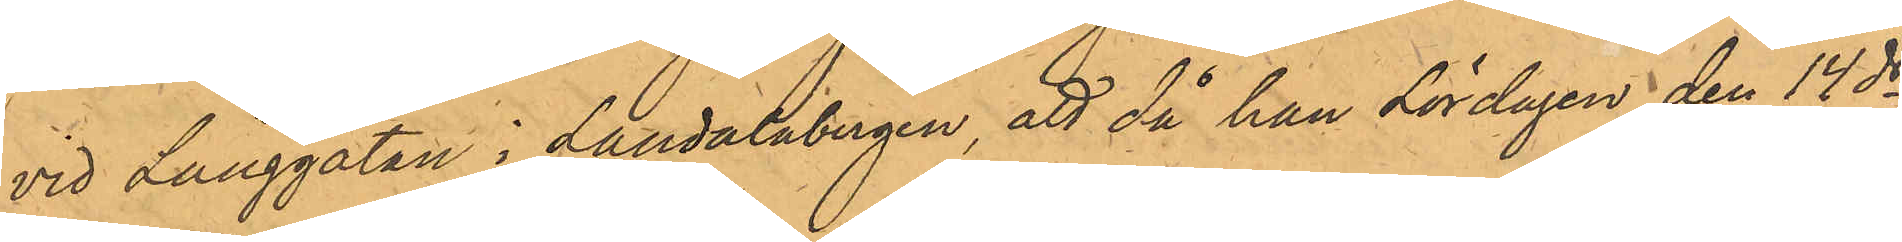vid Långgatan i Landalabergen, att då han Lördagen den 14 ds
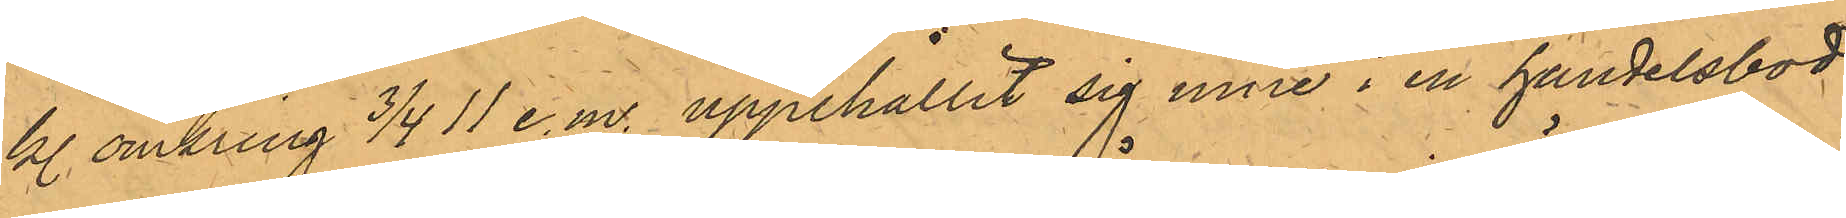kl. omkring 3/4 11 e.m. uppehållit sig inne i en handelsbod,
